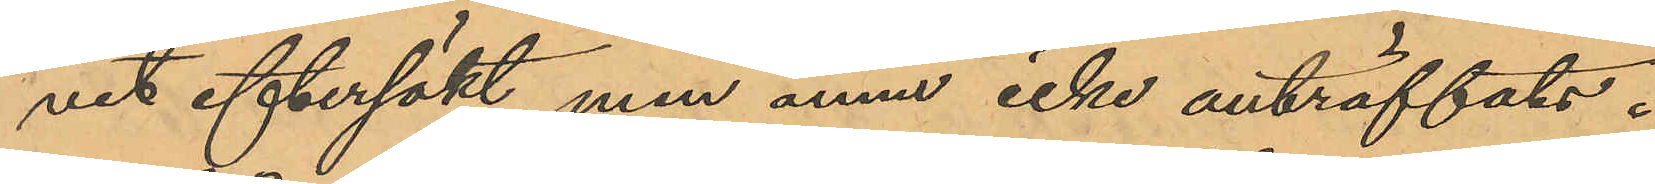vit eftersökt, men ännu icke anträffats.
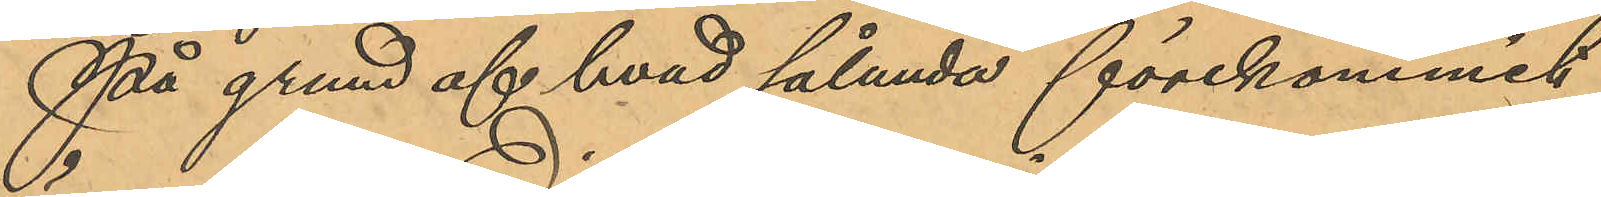På grund af hvad sålunda förekommit
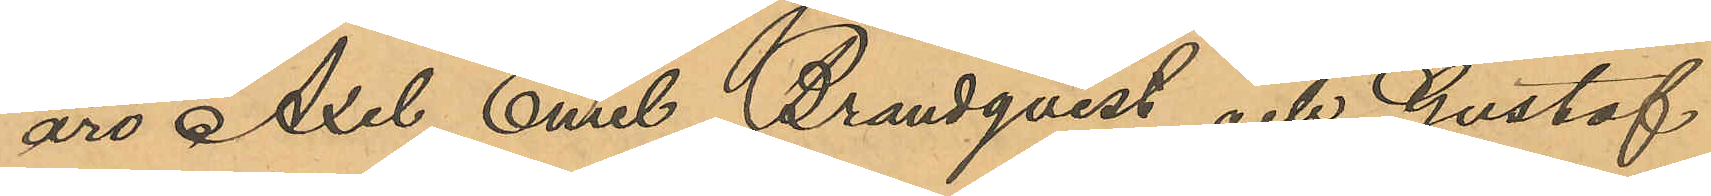äro Axel Emil Brandqvist och Gustaf
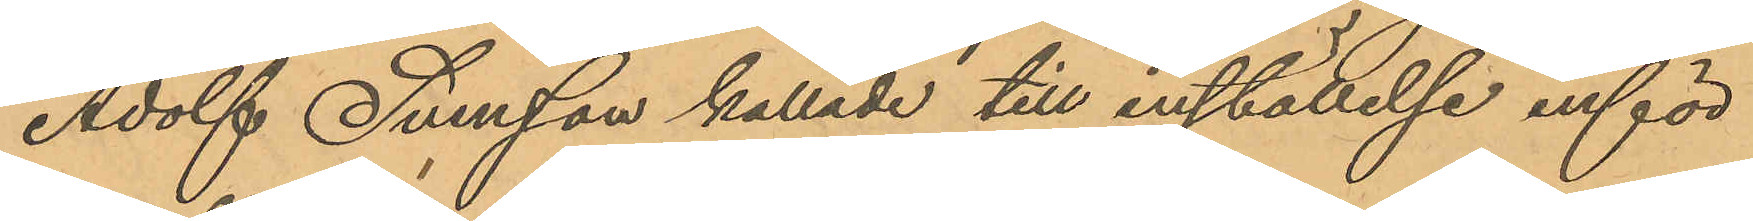Adolf Svensson kallade till inställelse inför
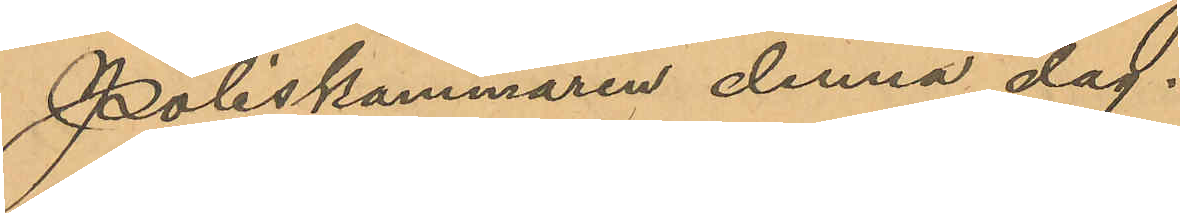Poliskammaren denna dag.
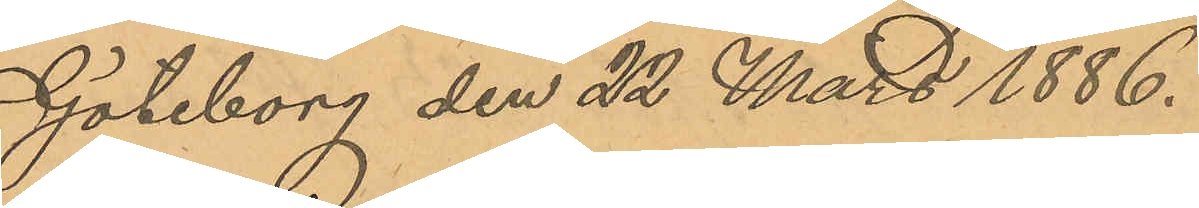Göteborg den 22 Mars 1886.
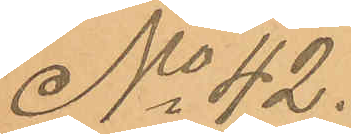No 42.
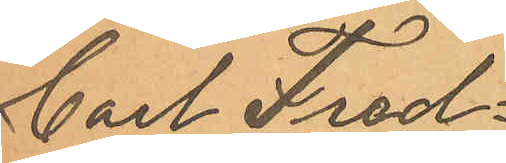Carl Fred¬
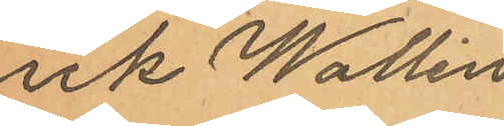rik Wallin
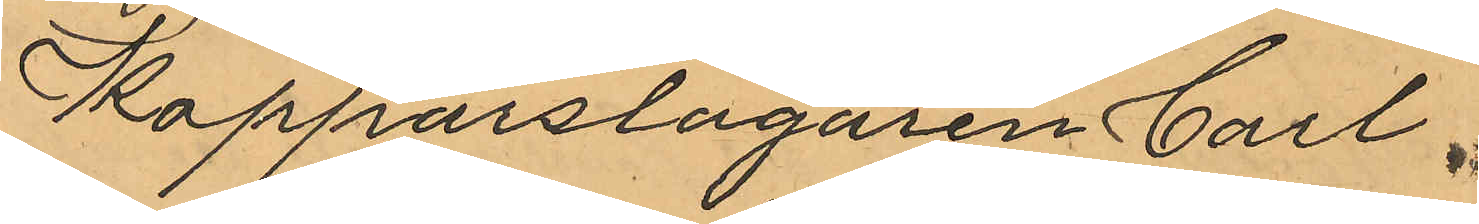Kopparslagaren Carl
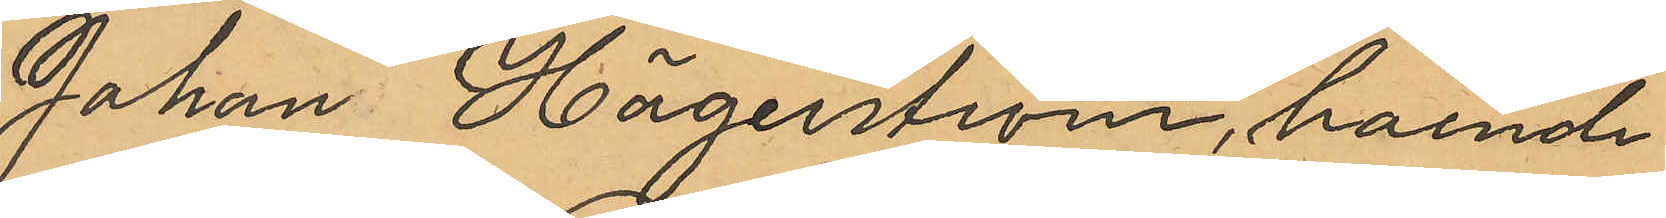Johan Hägerström, boende
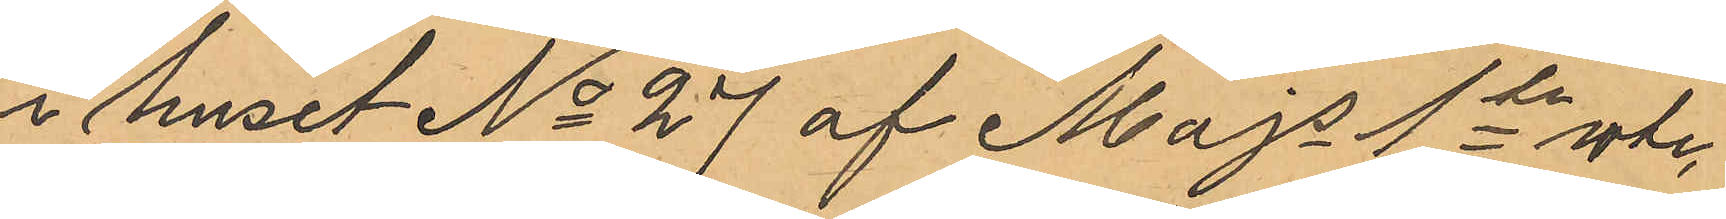i huset No 27 af Majs 1te rote,
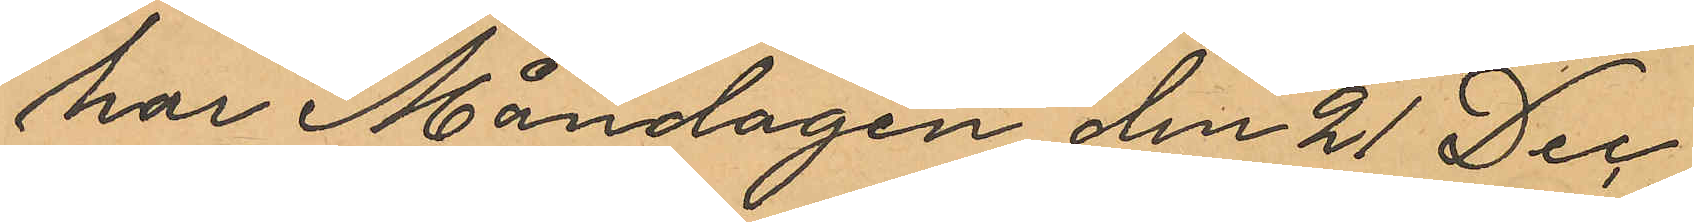har Måndagen den 21 Dec.
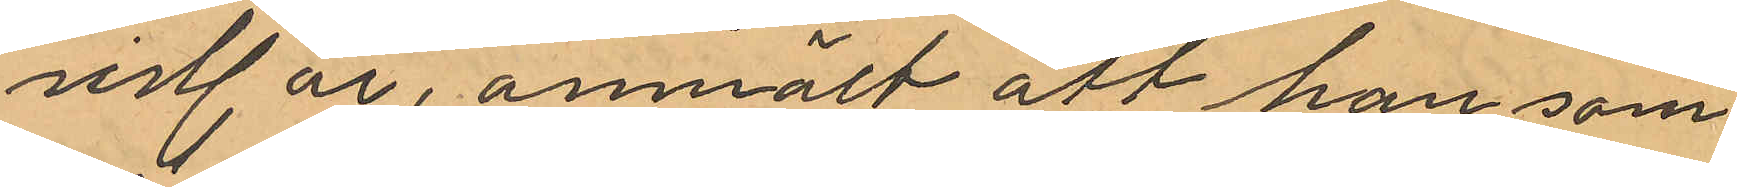sist år, anmält att han som
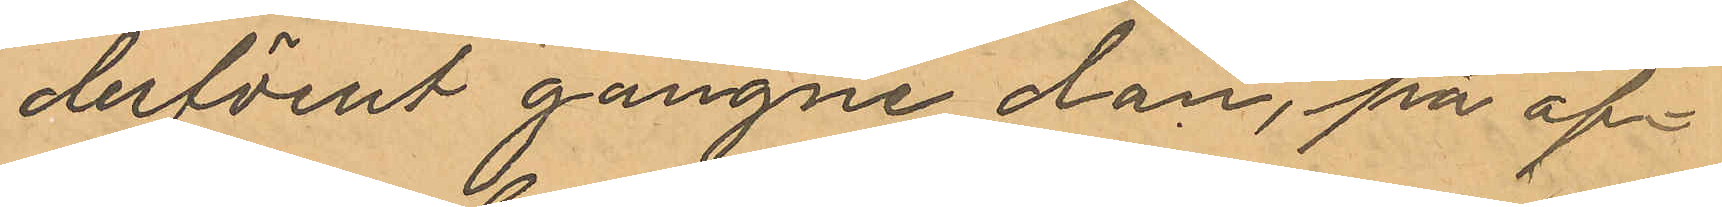derförut gångne dan, på af¬
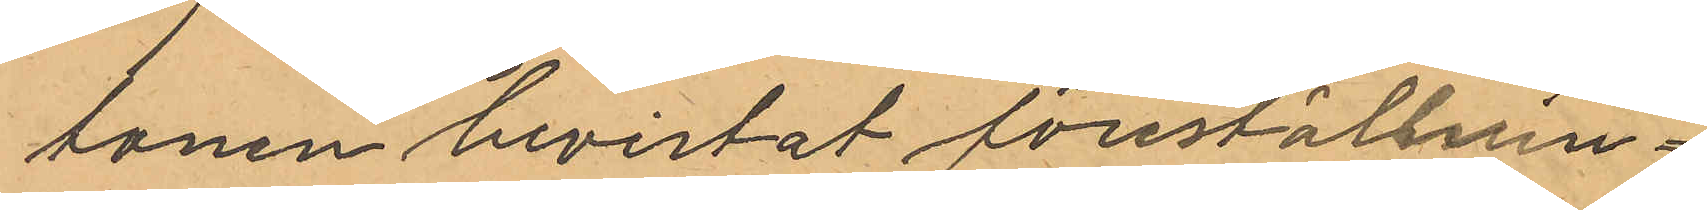tonen bevistat föreställnin¬
